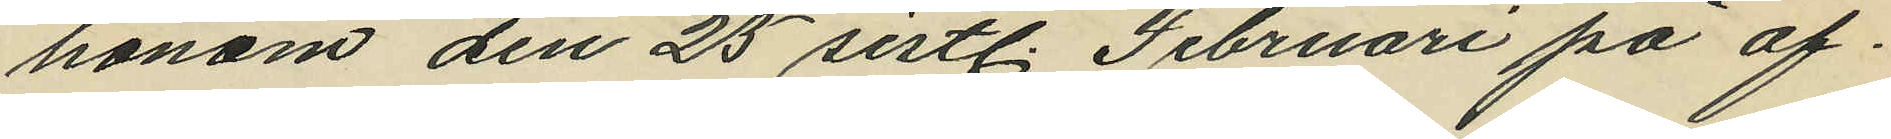honom den 25 sistl. Februari på af¬
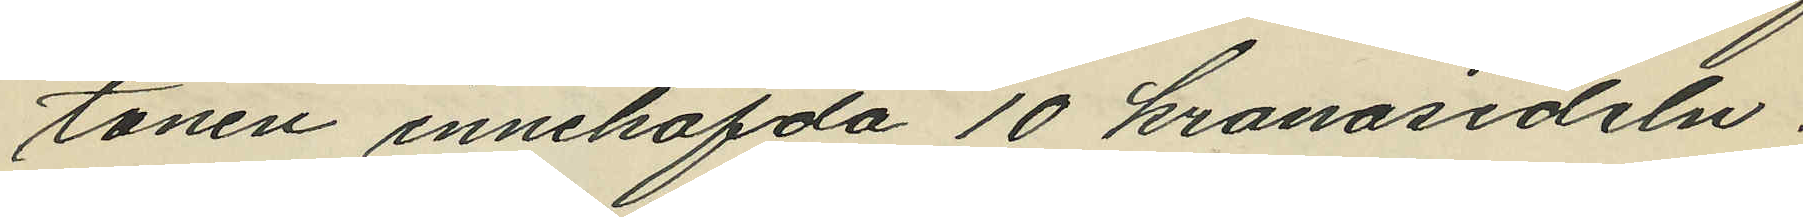tonen innehafda 10 kronosedeln.
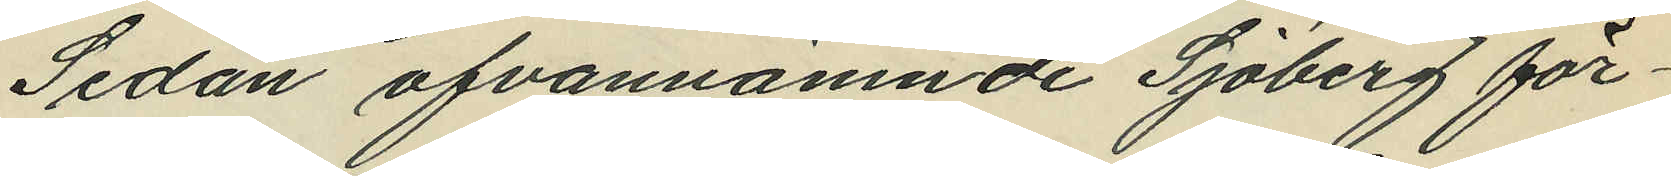Sedan ofvannämnde Sjöberg för¬
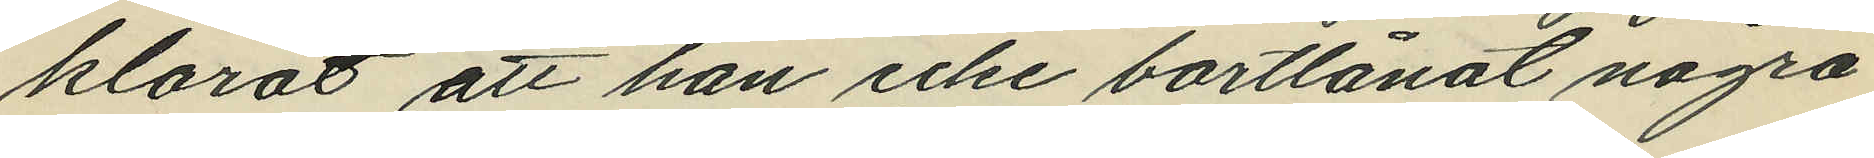klarat att han icke bortlånat några
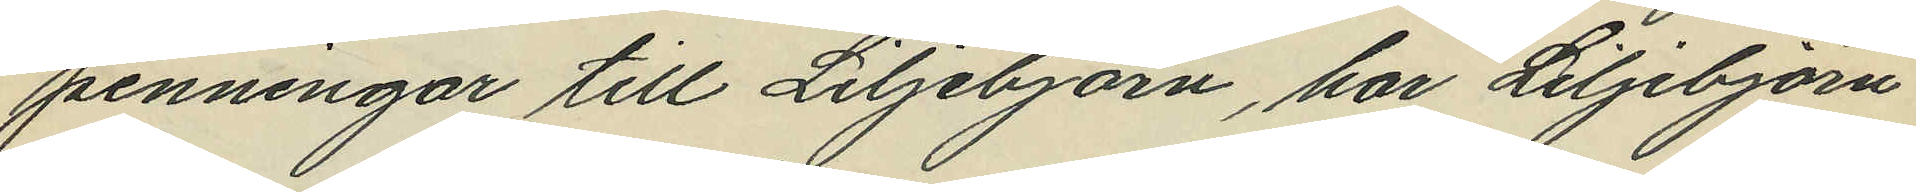penningar till Liljebjörn, har Liljebjörn
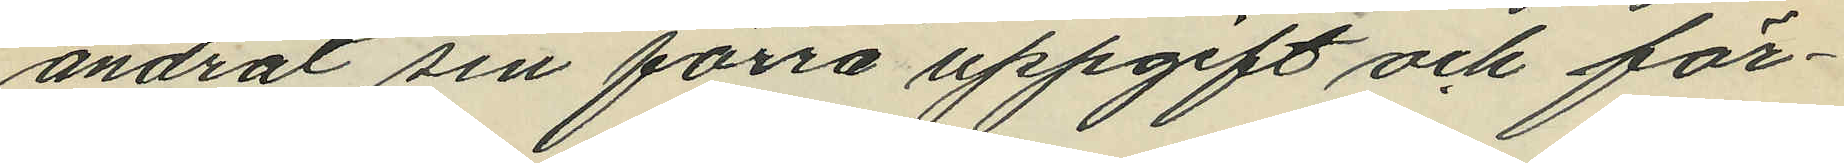ändrat sin förra uppgift och för¬
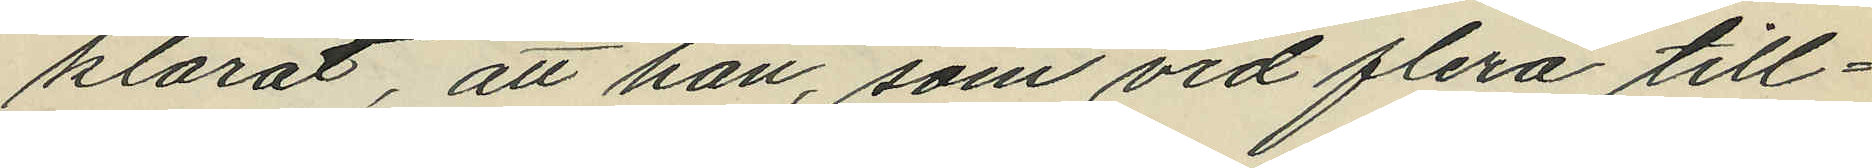klarat, att han, som vid flera till¬
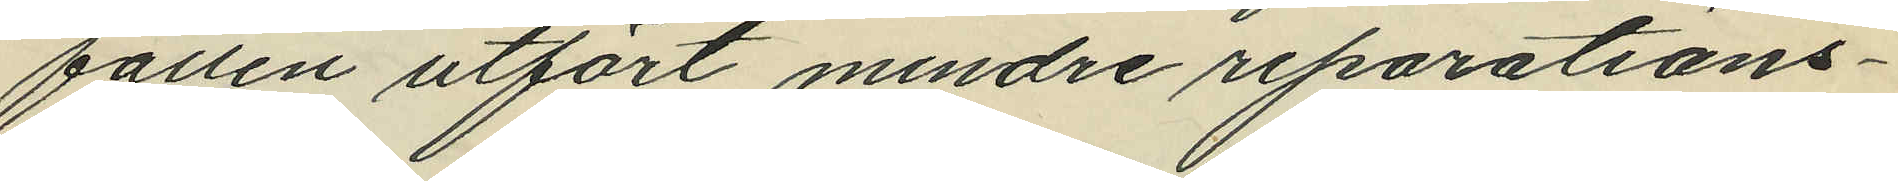fällen utfört mindre reparations¬
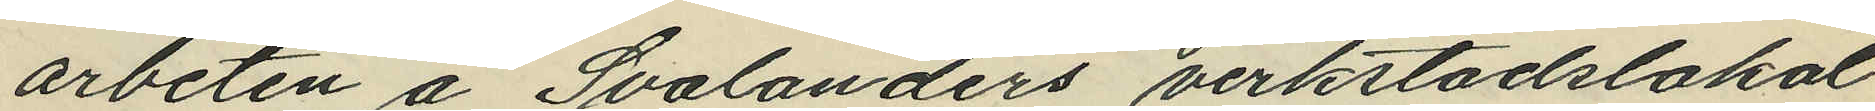arbeten å Svalanders verkstadslokal
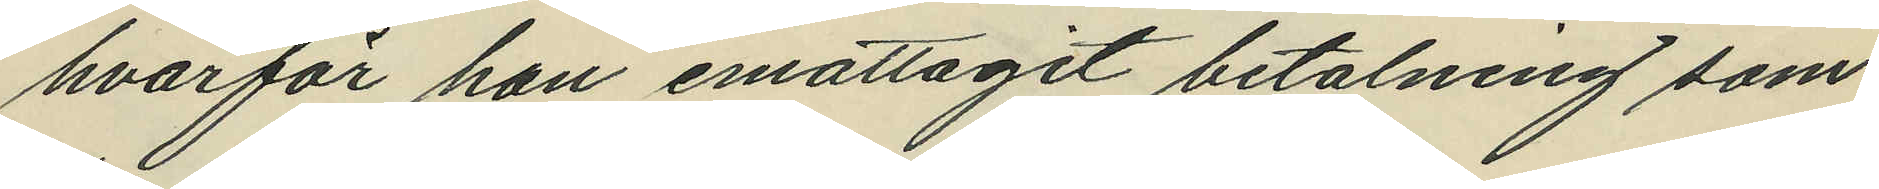hvarför han emottagit betalning som
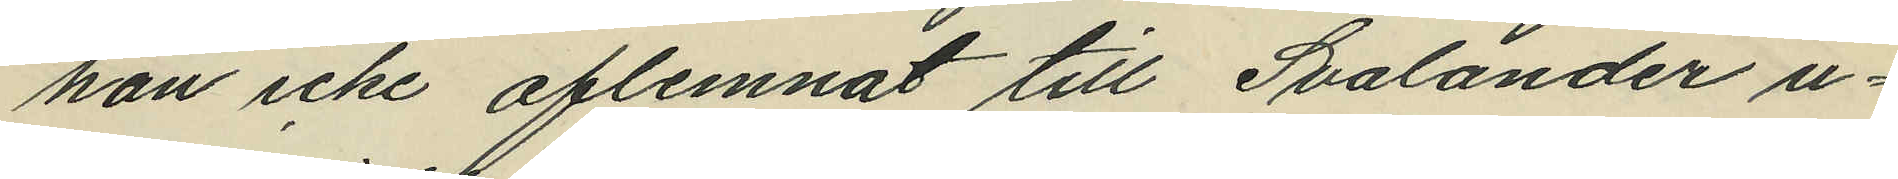han icke aflemnat till Svalander u¬
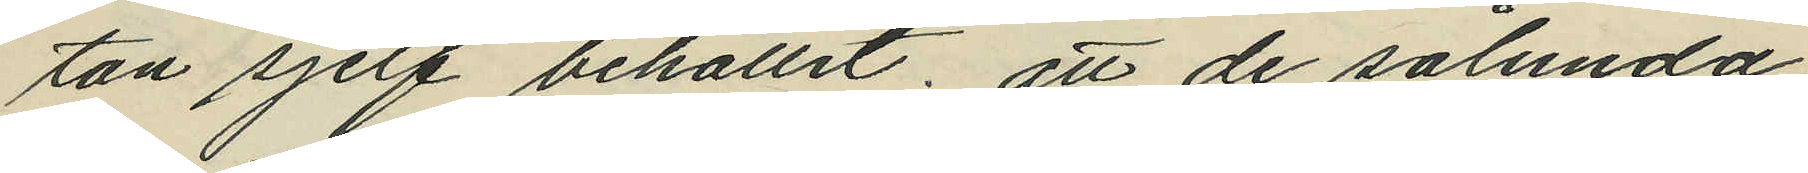tan sjelf behållit; att de sålunda
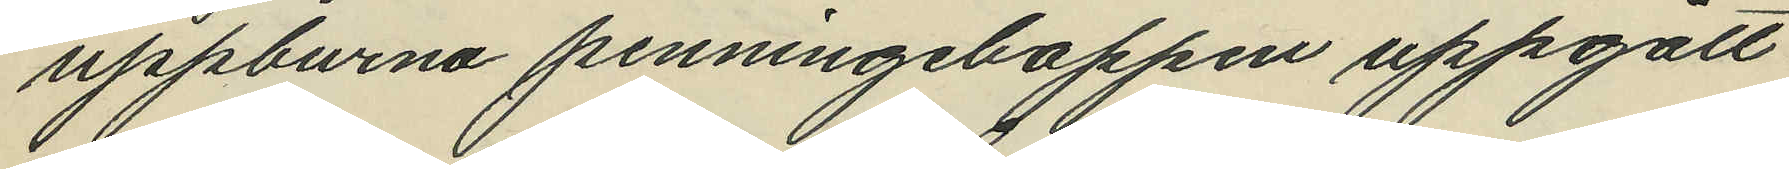uppburna penningeboppen uppgått
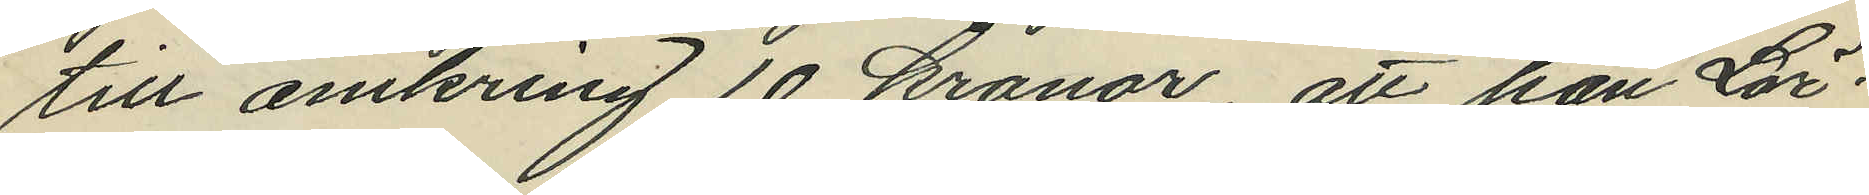till omkring 10 kronor, att han Lör¬
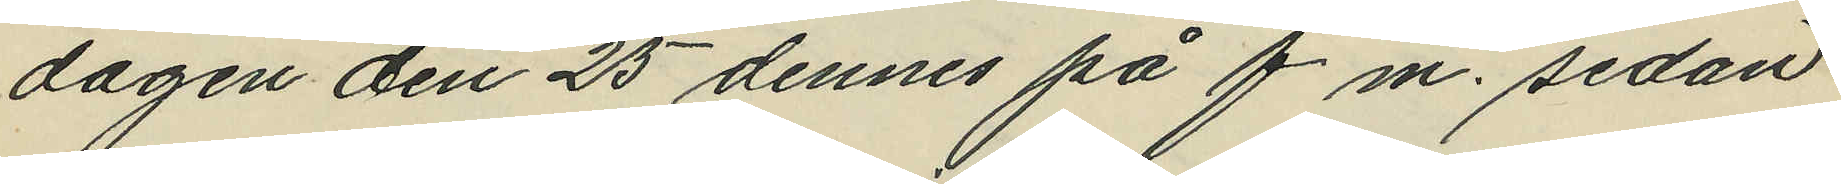dagen den 25 dennes på f.m. sedan
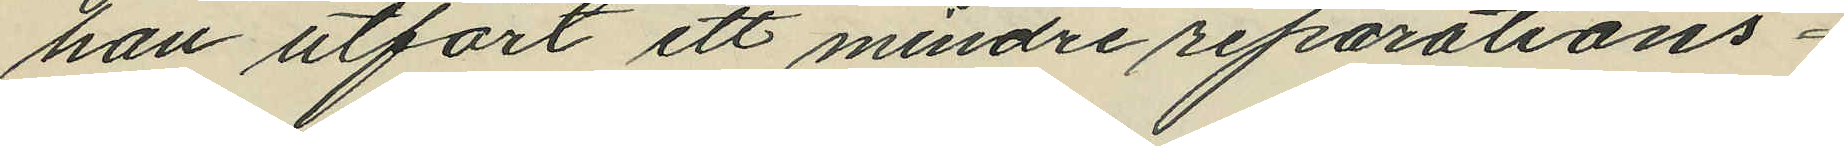han utfört ett mindre reparations¬
